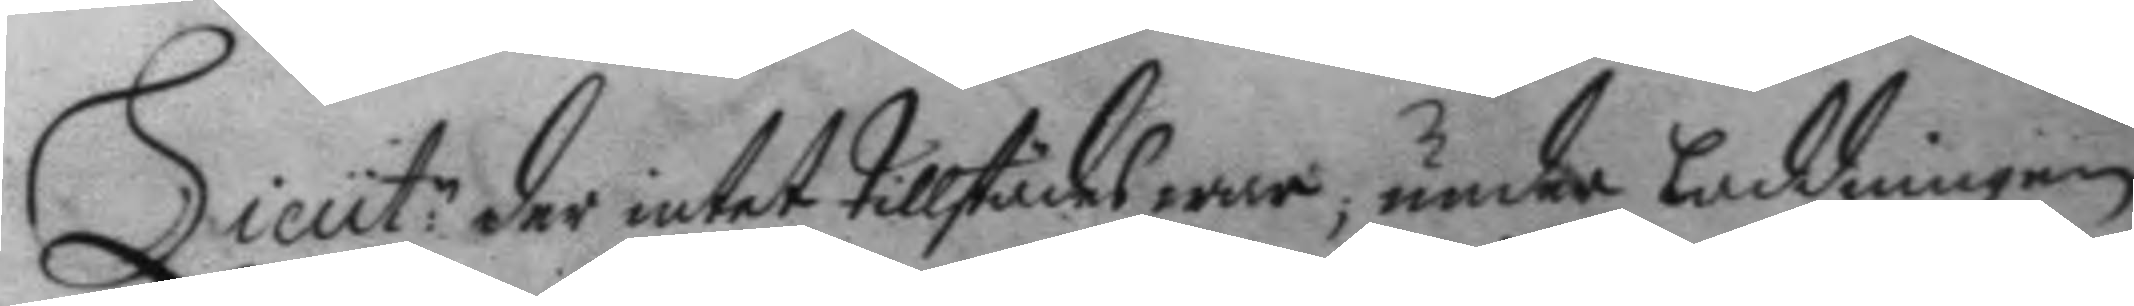Lieut:n der intet tillstädes war, under laddningen
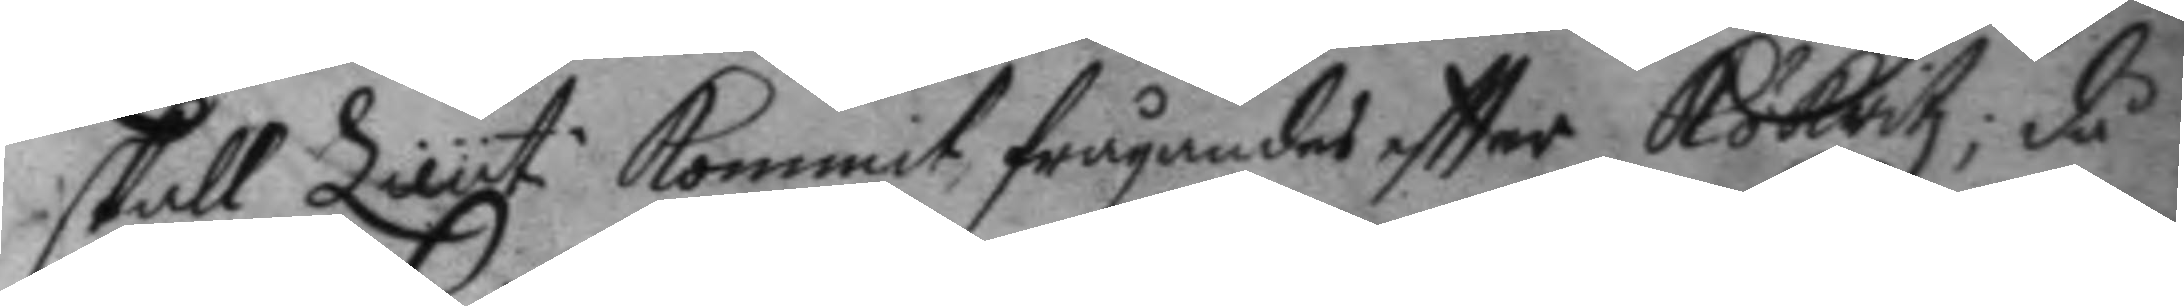skall Lieut. kommit frågandes eftter Kökritz; då
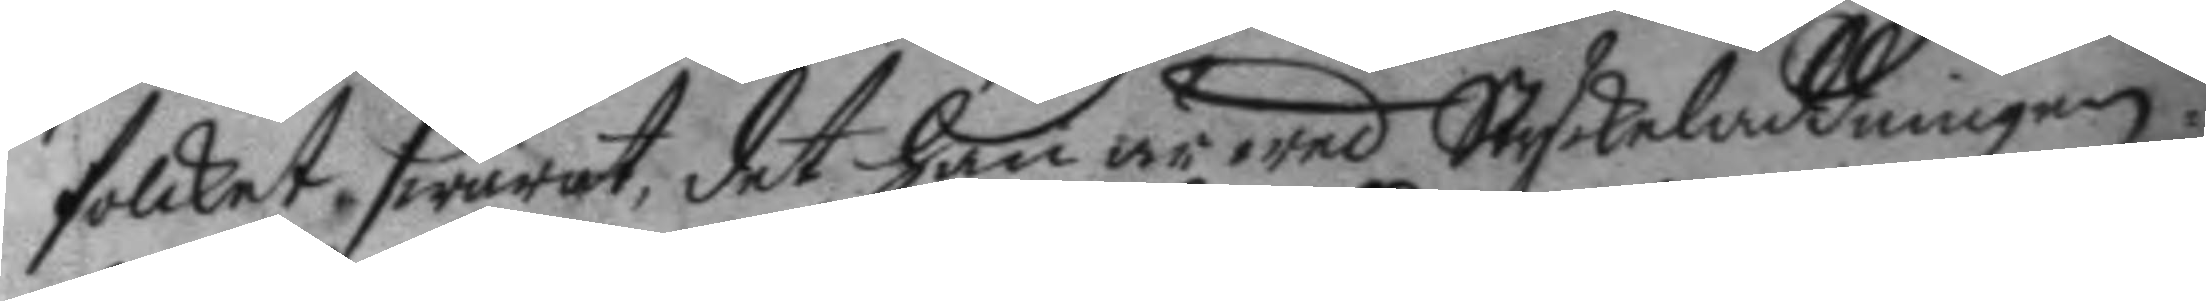folcket swarat, det han är wed Styckeladdningen.
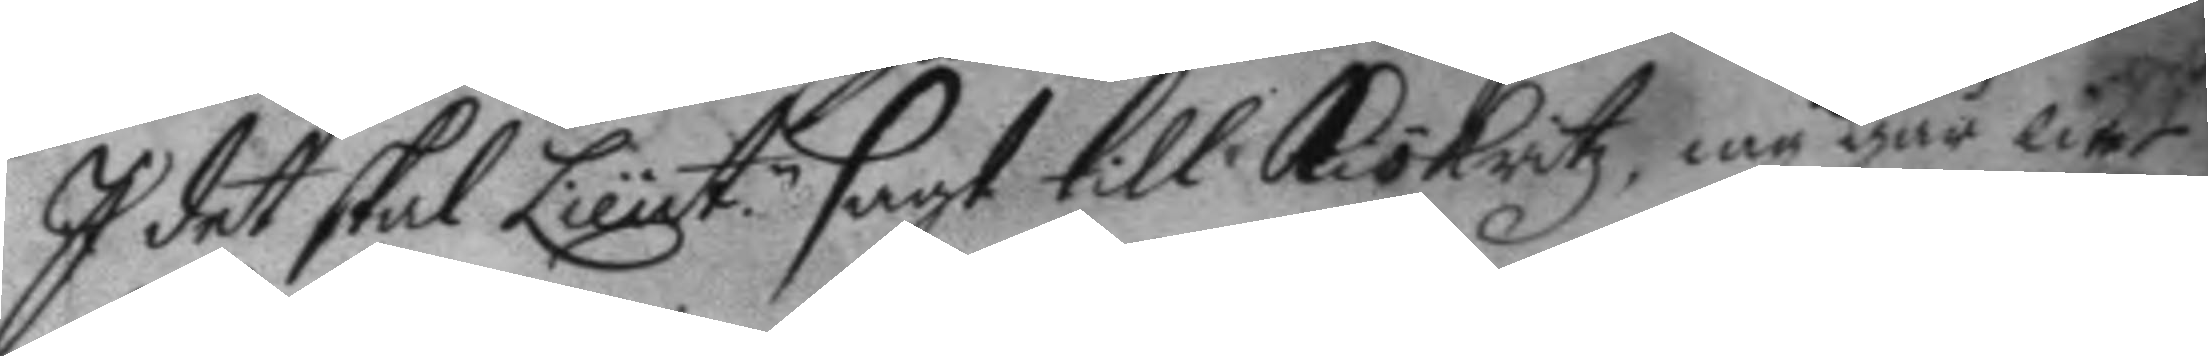I det skal Lieut.n sagt till Kökritz, iag går liet
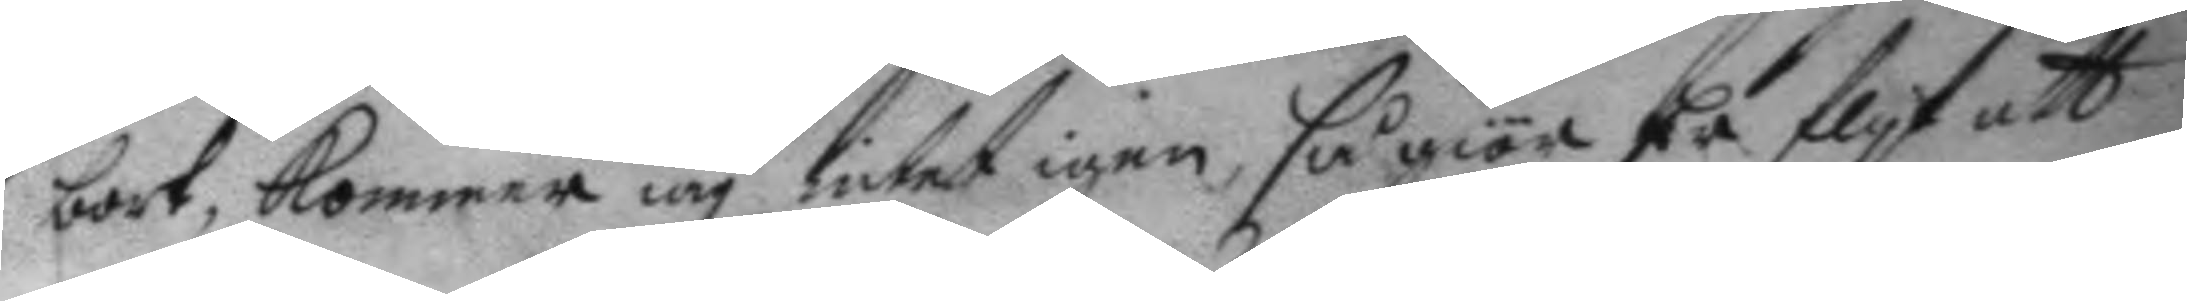bort, kommer iag intet igen, så giör Er flyt att
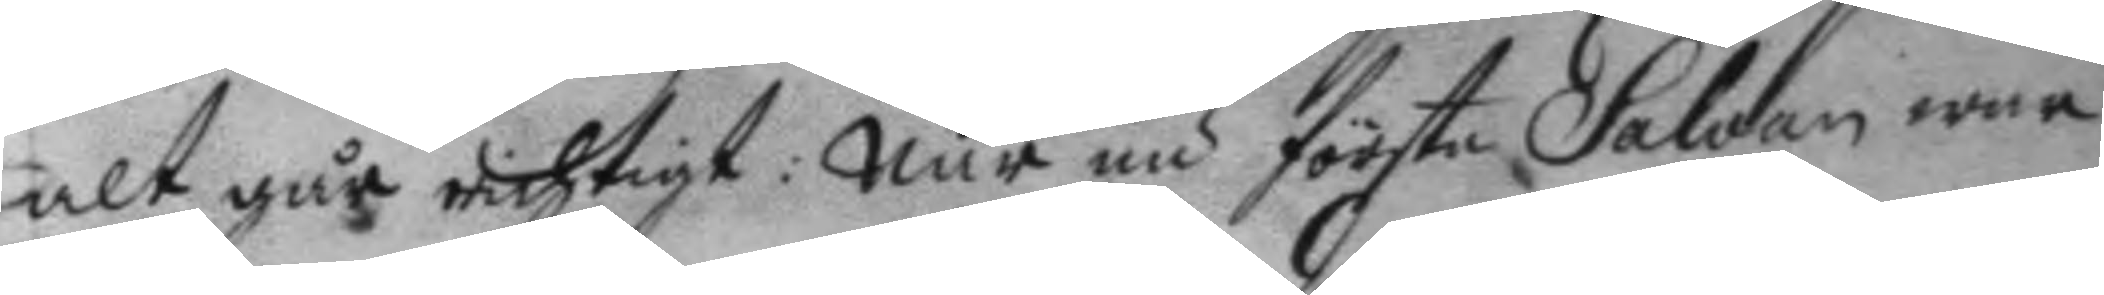alt går richtigt: När nu första Salvan war
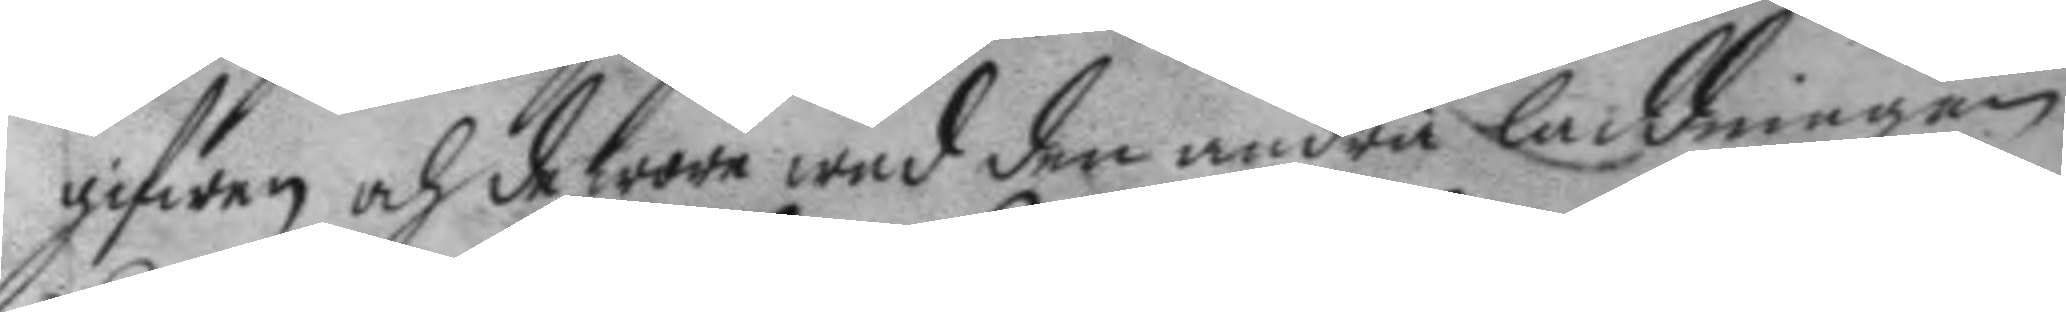gifwen och de wore wed den andra laddningen
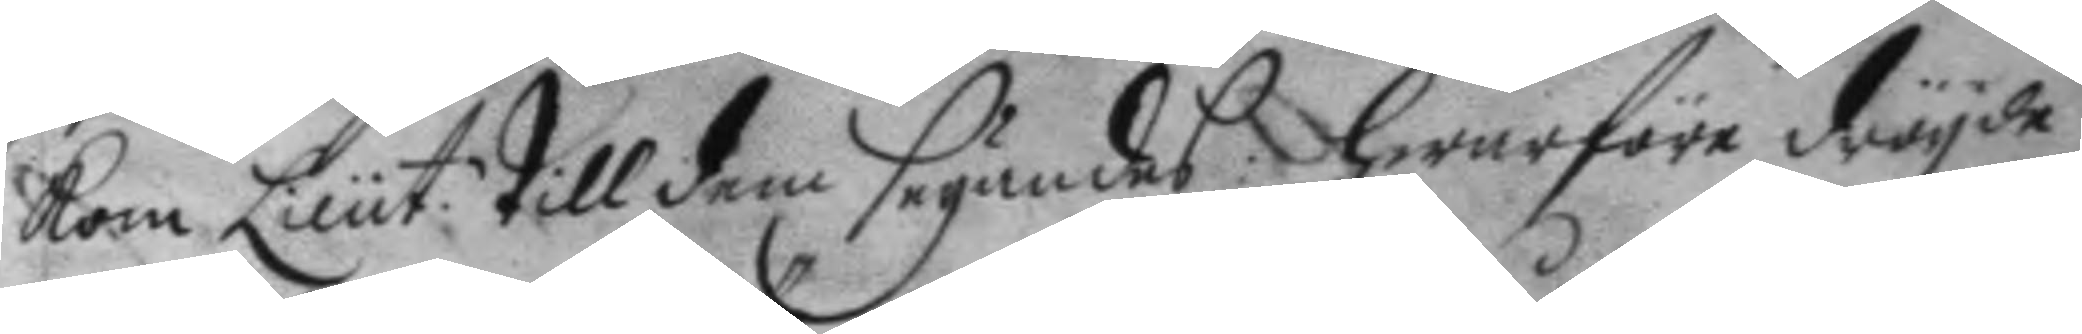kom Lieut. till dem seyandes: hwarföre dröyde
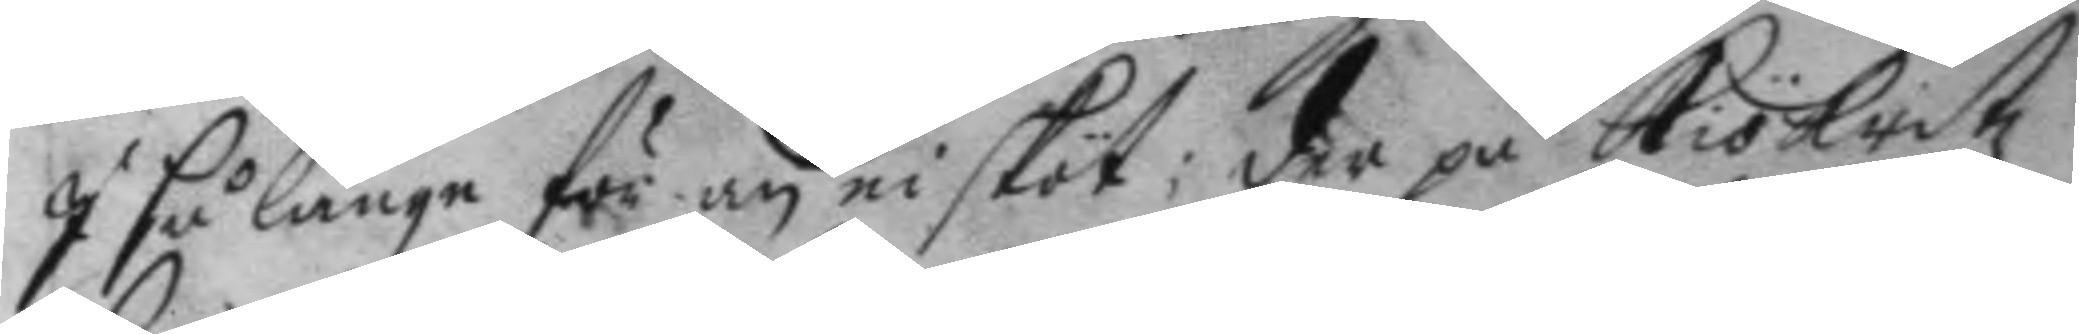I så länge för än ni sköt; der på Kökritz
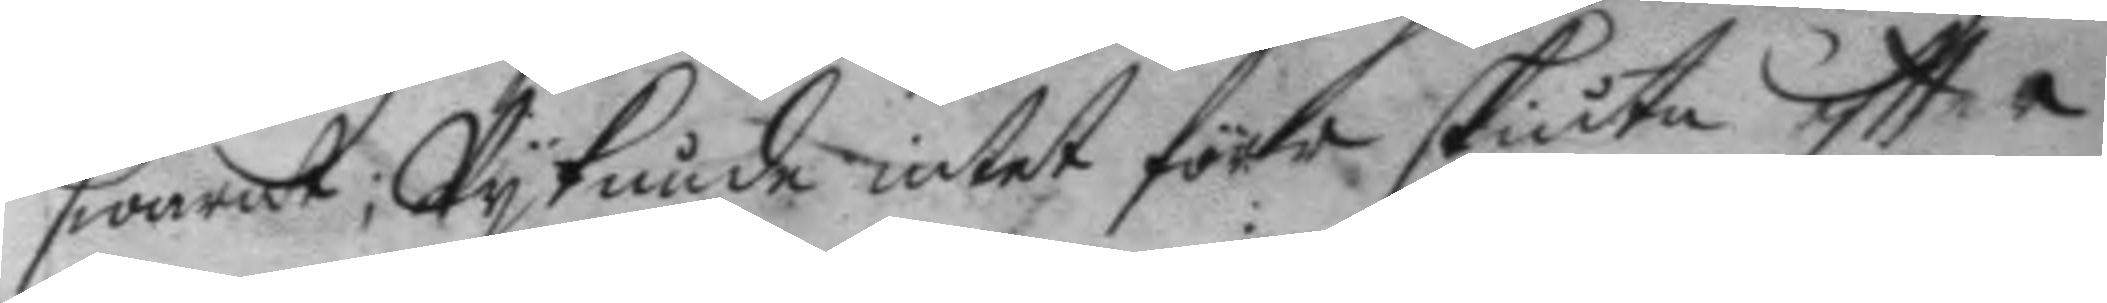swarat; Wy kunde intet förr skiuta eftter
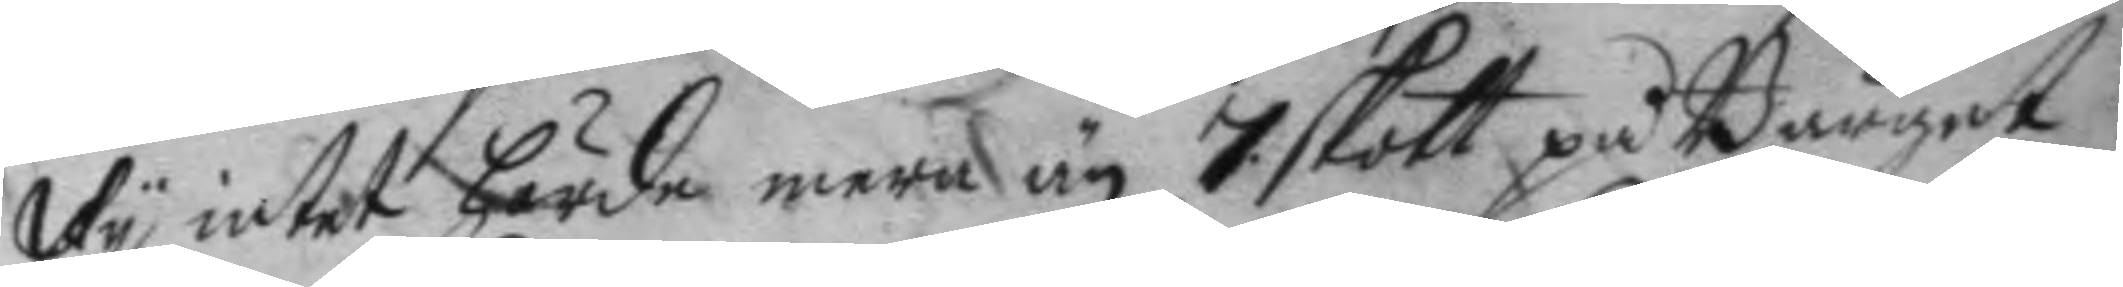Wy intet hörde mera än 7 skott på Bärget
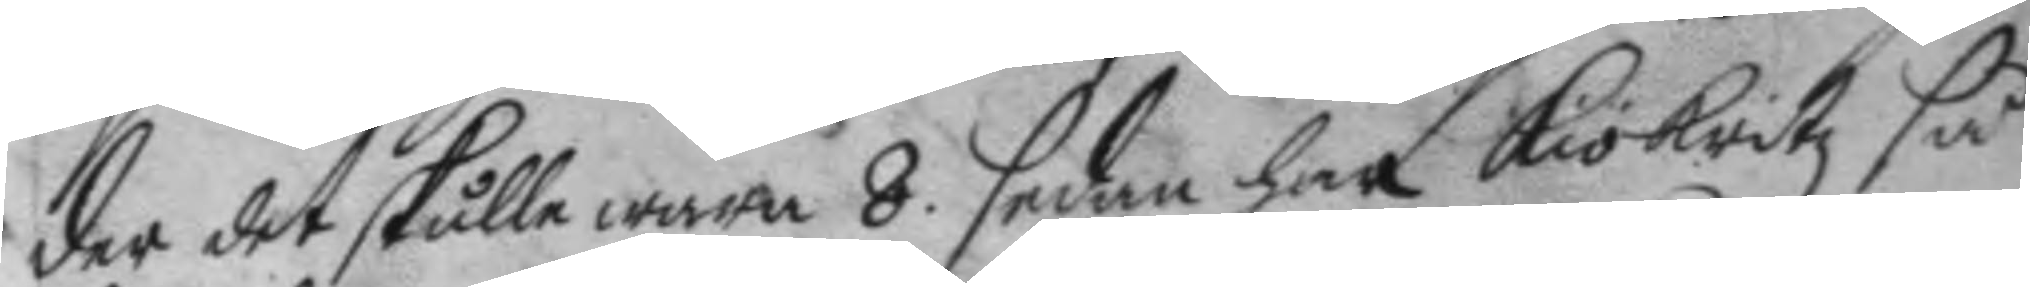der det skulle wara 8. sedan har Kökritz så
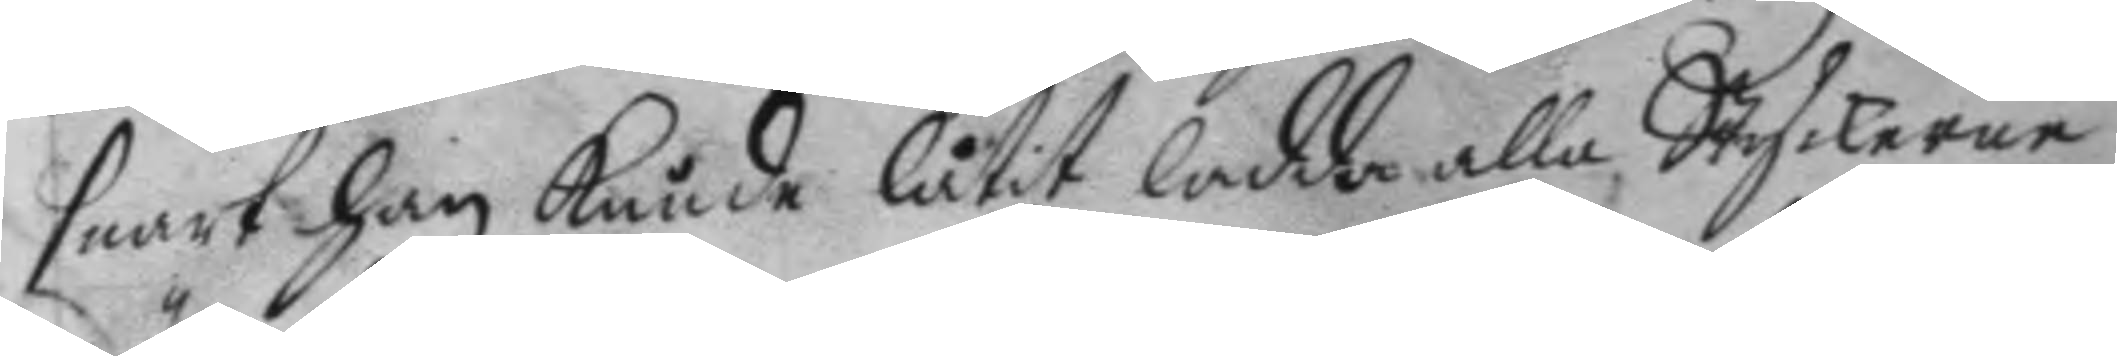snart han kunde låtit ladda alla Styckerne:
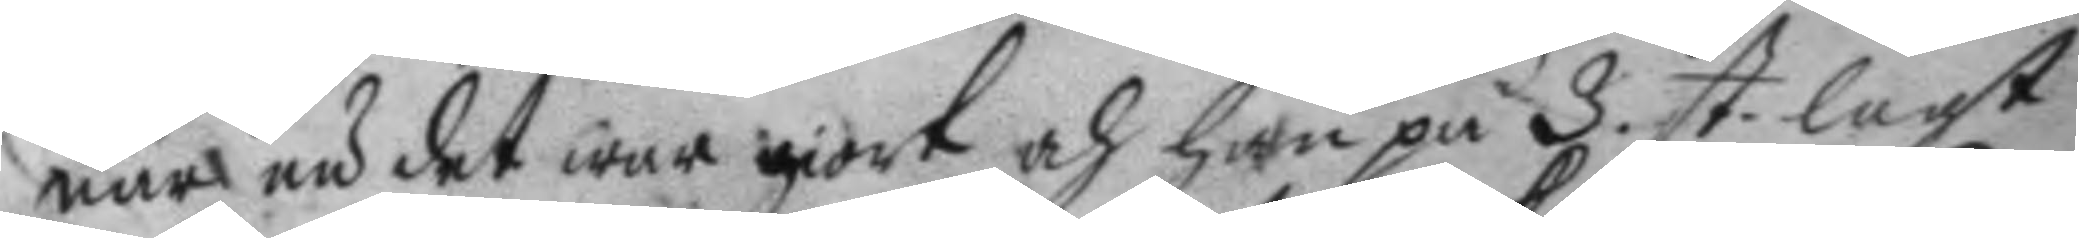när nu det war giort och han på 3. st. lagt
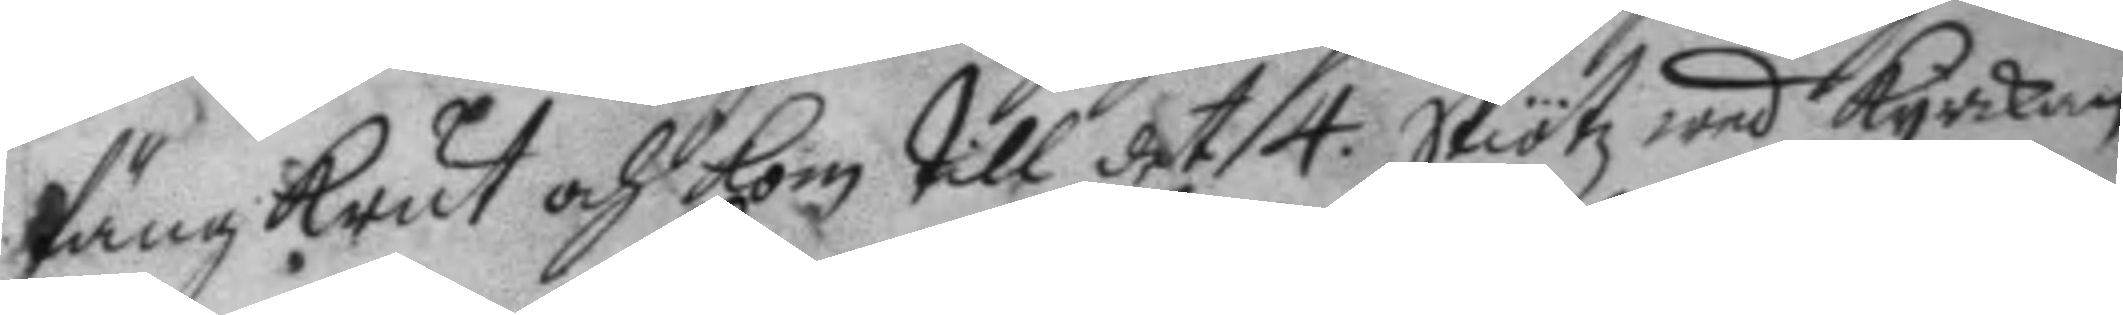fängkrut och kom till det 4. skiötz wed kyrckan
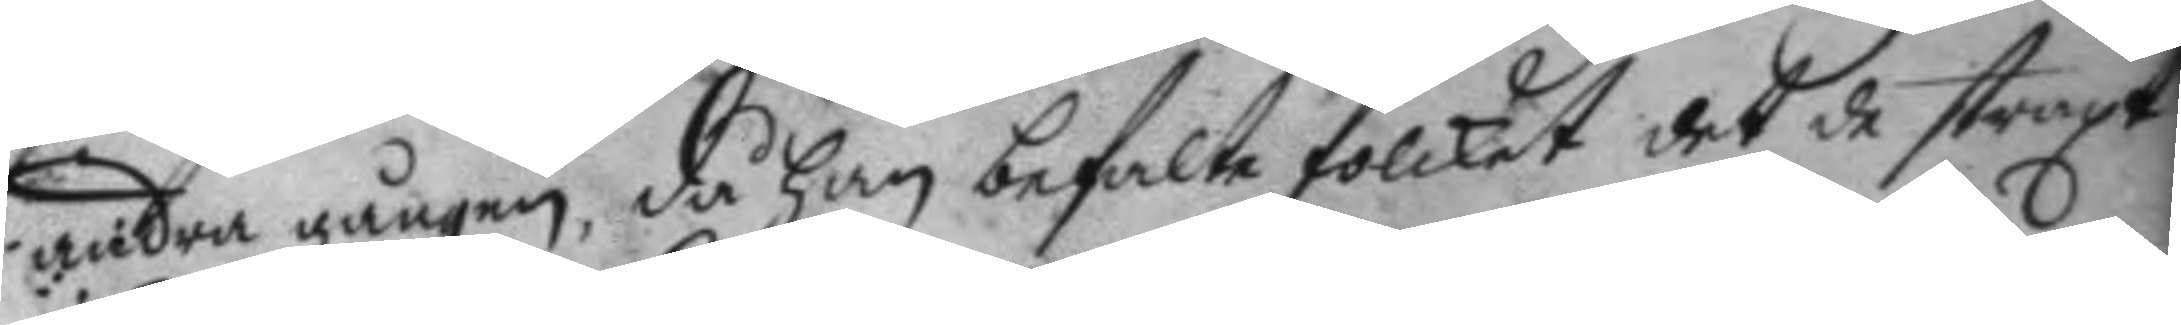andra gången, då han befalte folcket det de straxt
